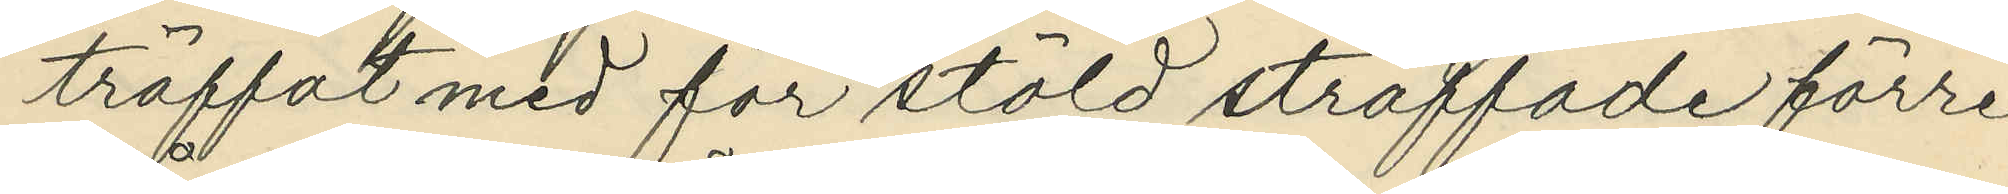träffat med för stöld straffade förre
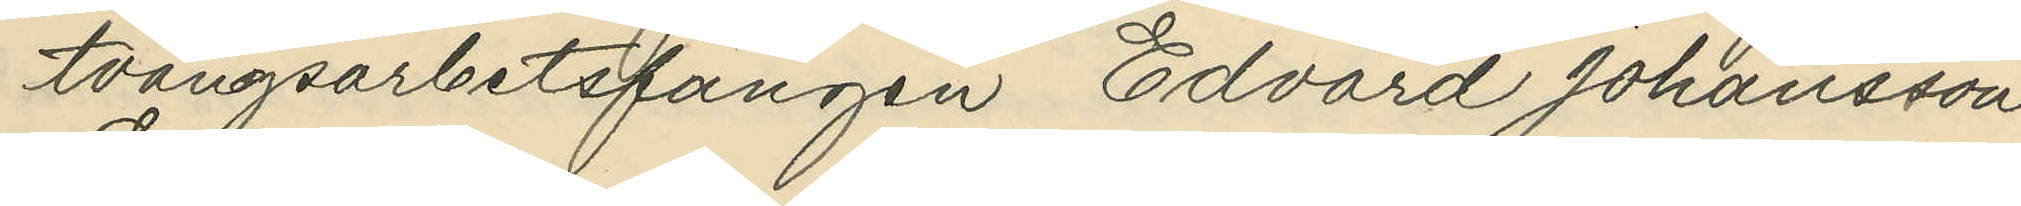tvångsarbetsfången Edvard Johansson
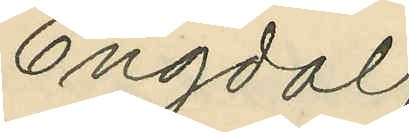Engdal;
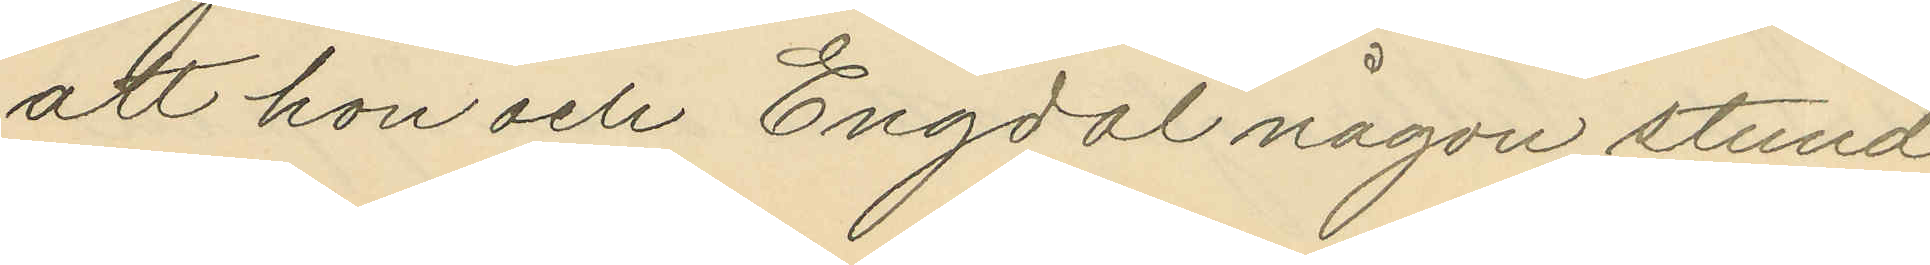att hon och Engdal någon stund
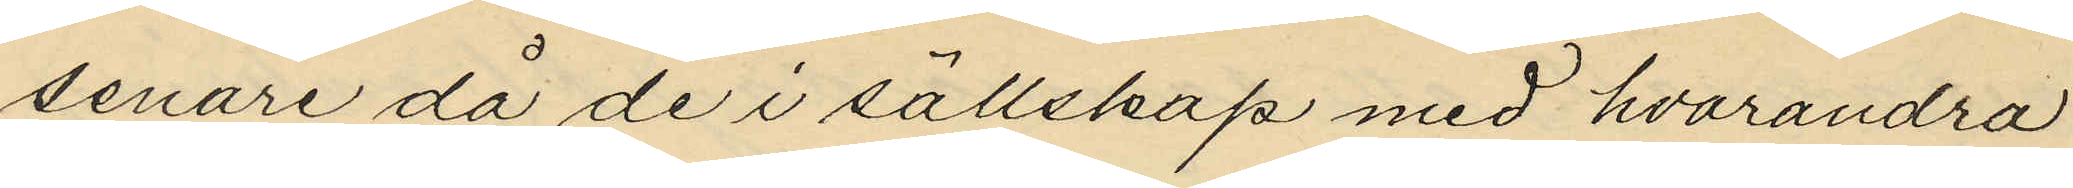senare då de i sällskap med hvarandra
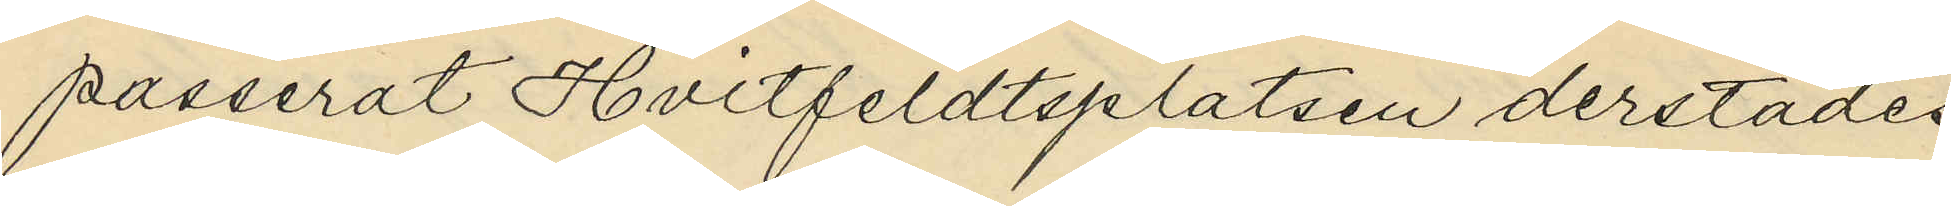passerat Hvitfeldtsplatsen derstädes
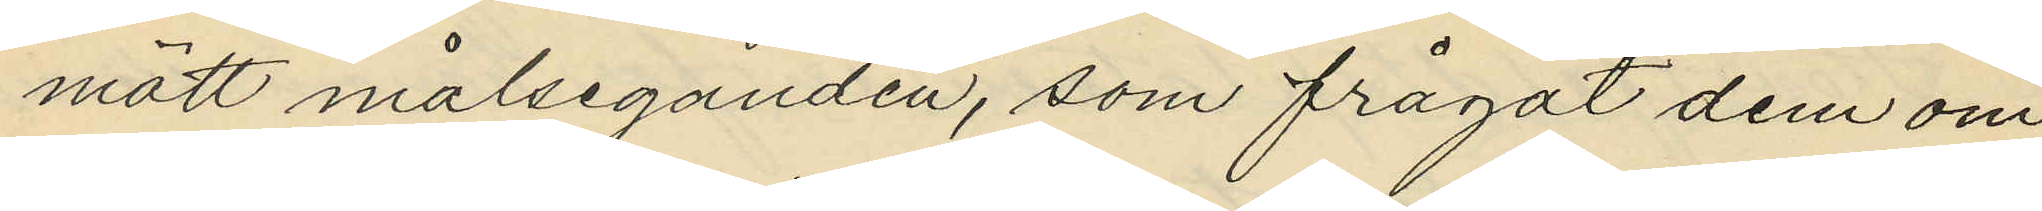mött målseganden, som frågat dem om
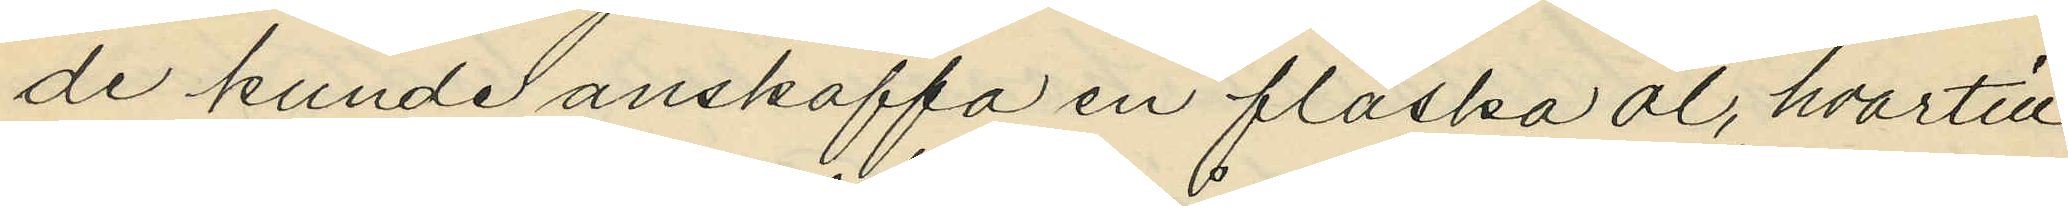de kunde anskaffa en flaska öl, hvartill
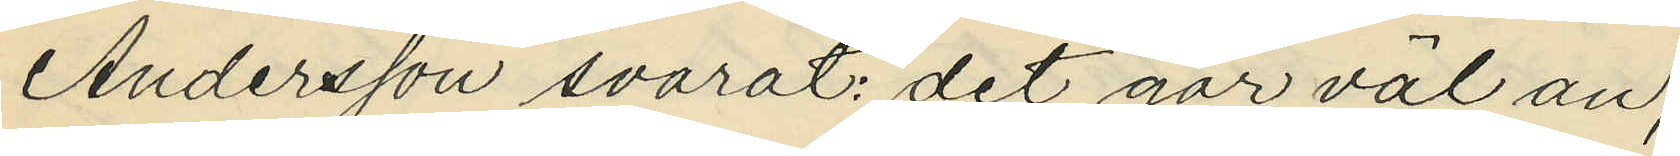Andersson svarat: "det går väl an";
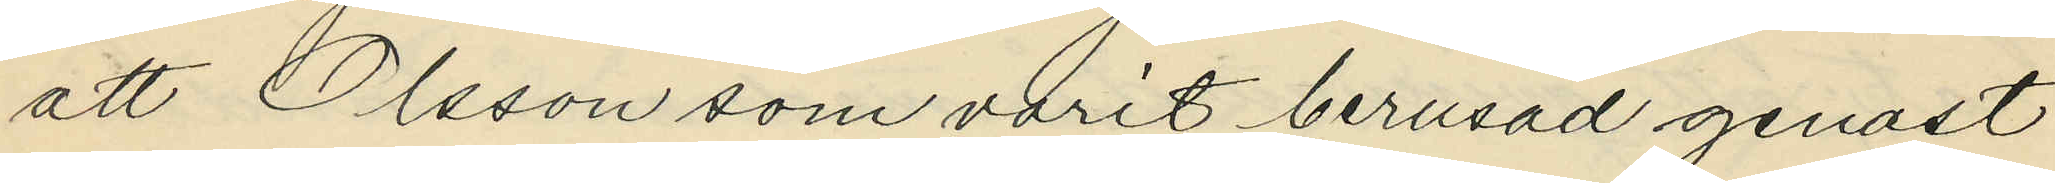att Olsson som varit berusad genast
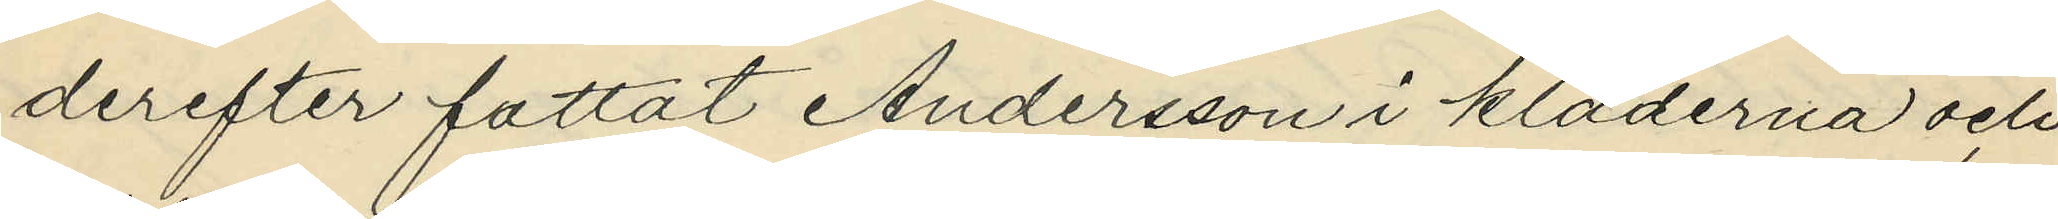derefter fattat Andersson i kläderna och
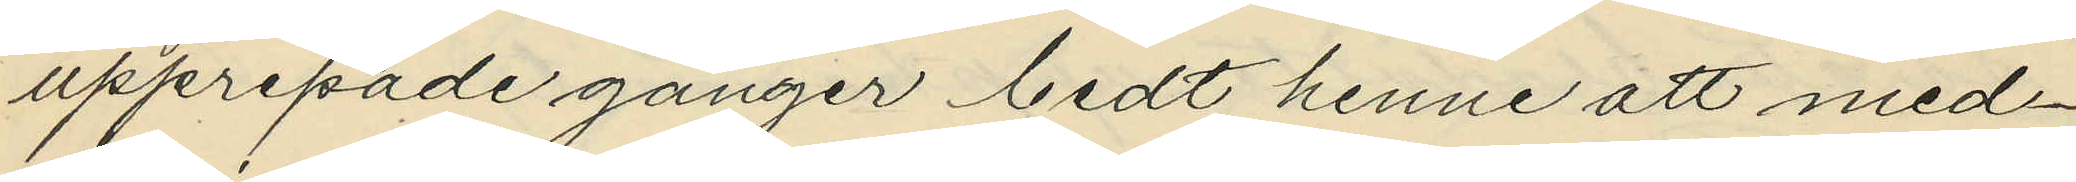upprepade gånger bedt henne att med¬
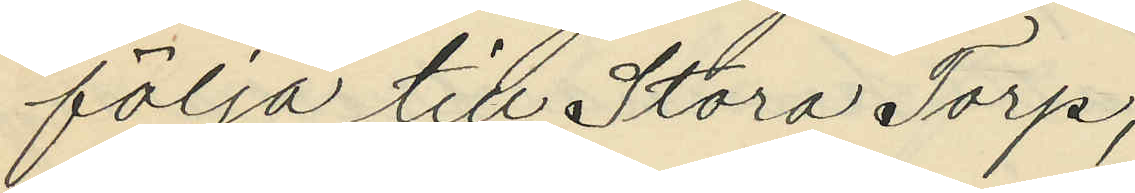följa till Stora Torp;
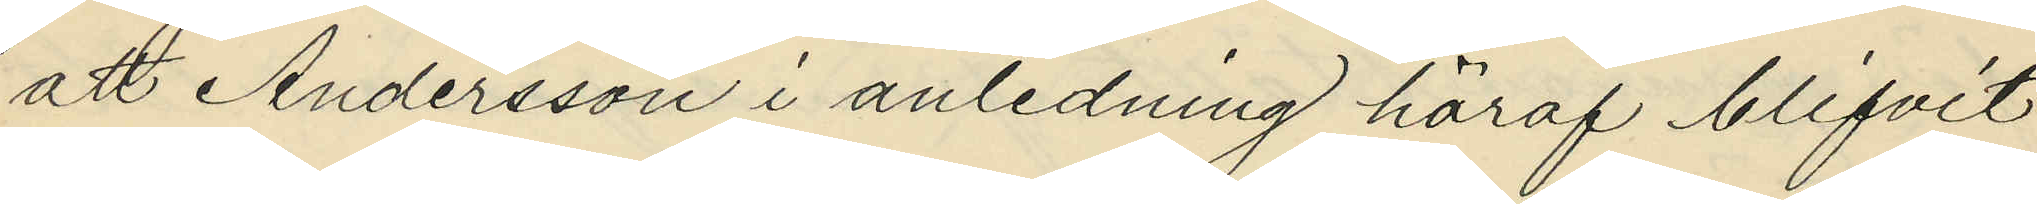att Andersson i anledning häraf blifvit
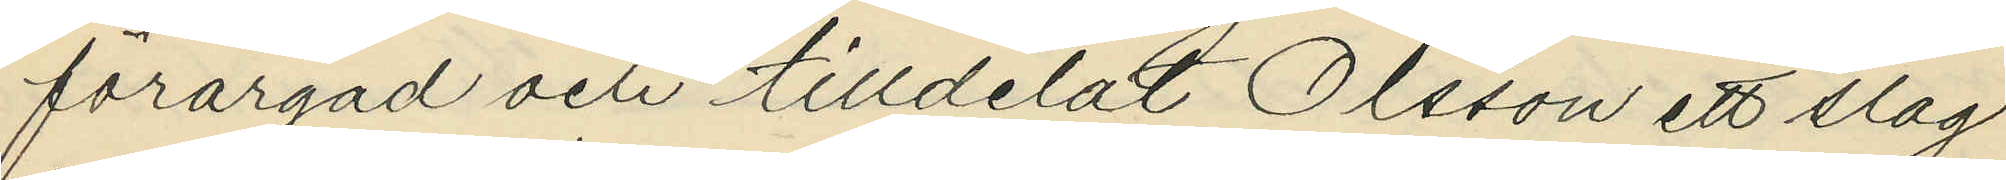förargad och tilldelat Olsson ett slag
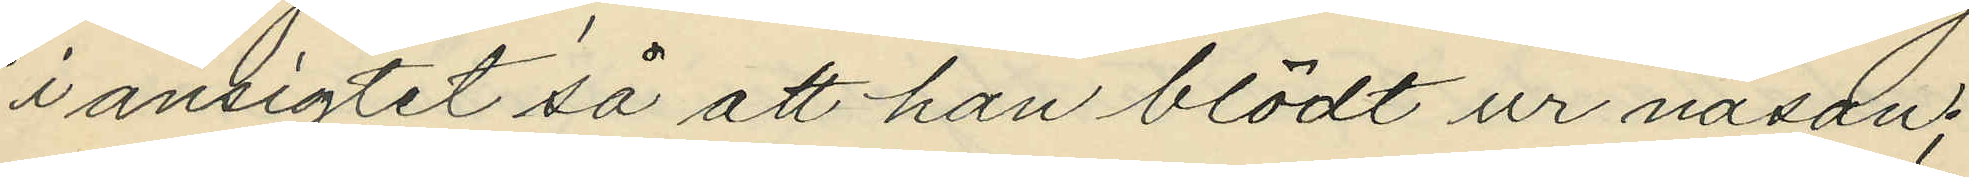i ansigtet så att han blödt ur näsan;
